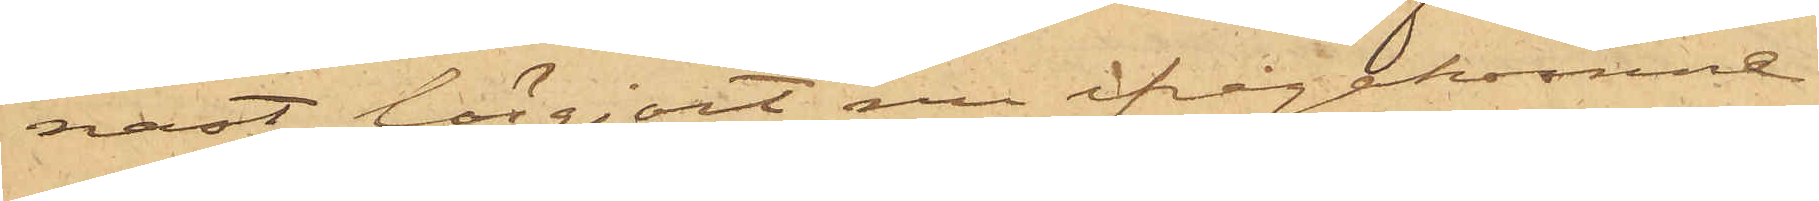nast lösgjort nu ifrågakomne
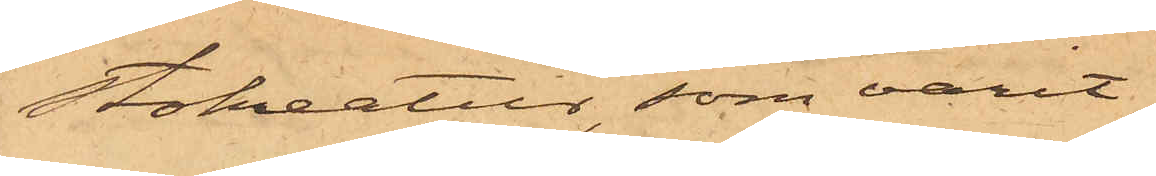Stokreatur, som varit
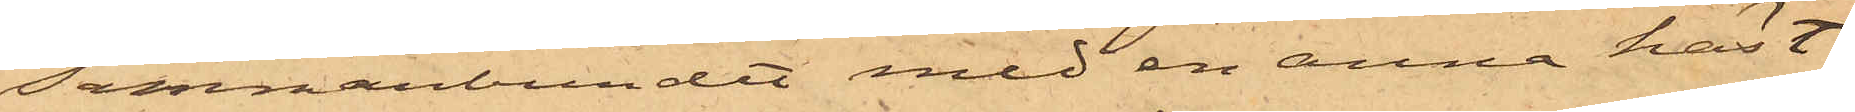sammanbundet med en annan häst
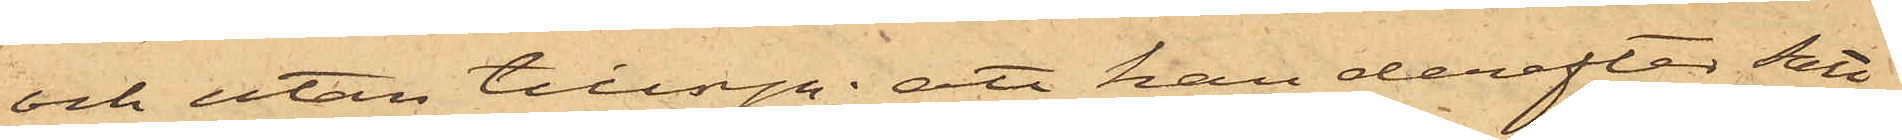och utan tillsyn; att han derefter satt
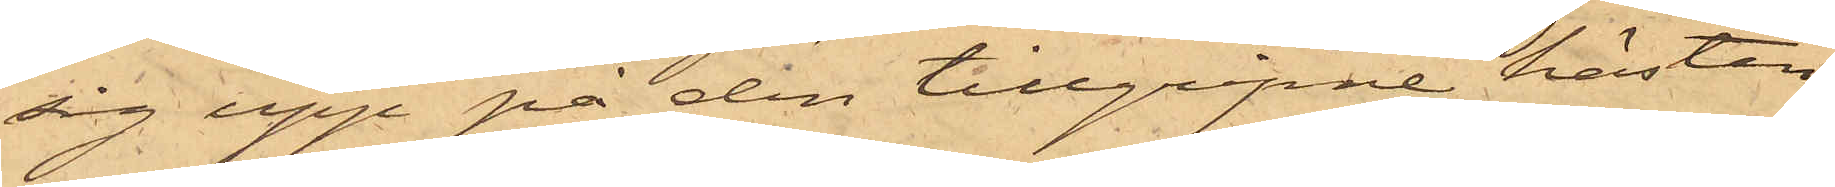sig upp på den tillgripne hästen
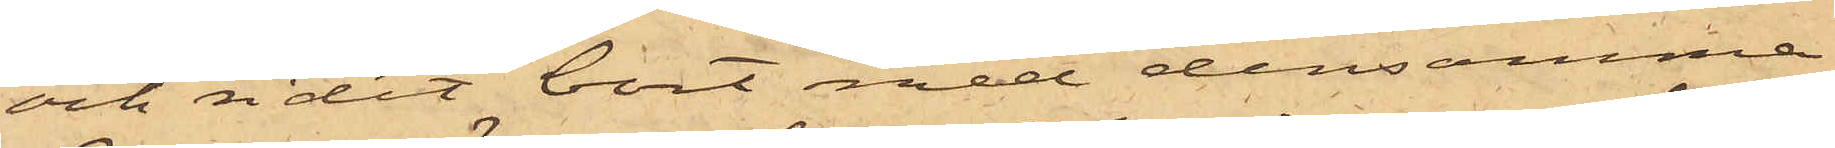och ridit bort med densamma
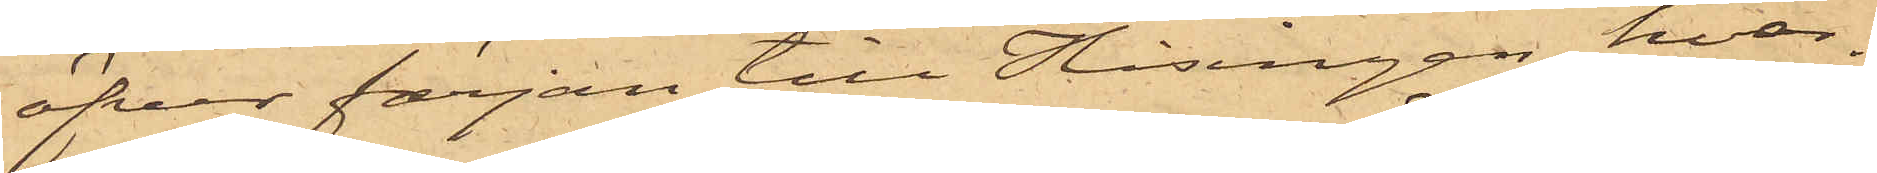öfver färjan till Hisingen, hvar¬
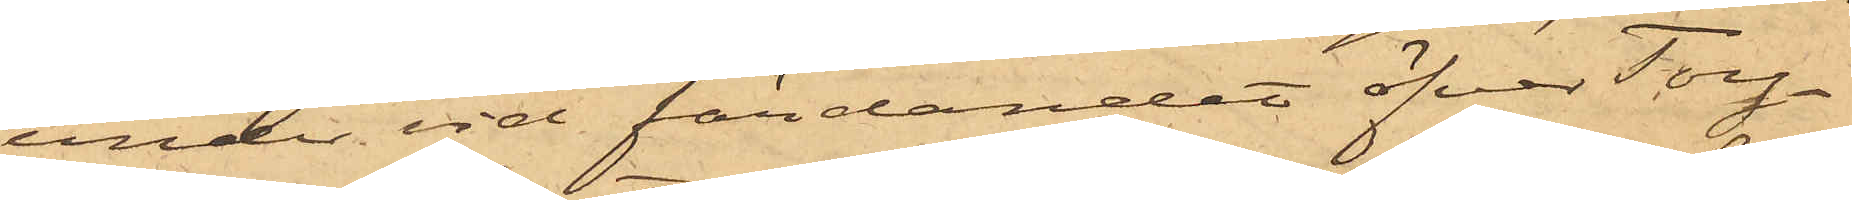under vid färdandet öfver Torg¬
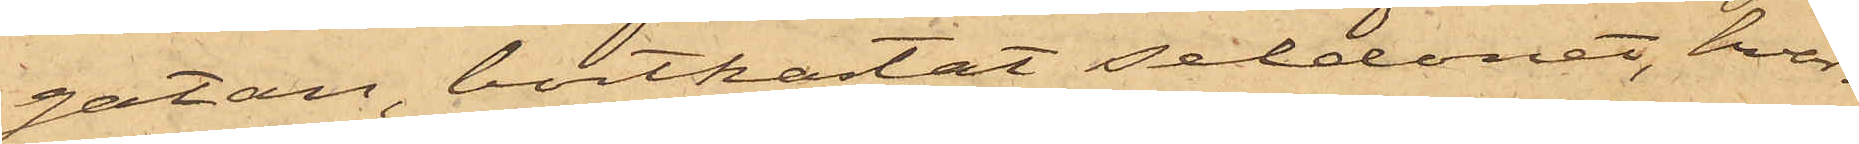gatan, bortkastat seldonet, hvar¬
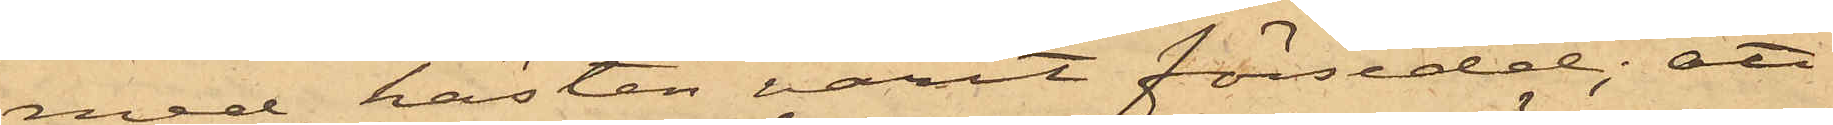med hästen varit försedd; att
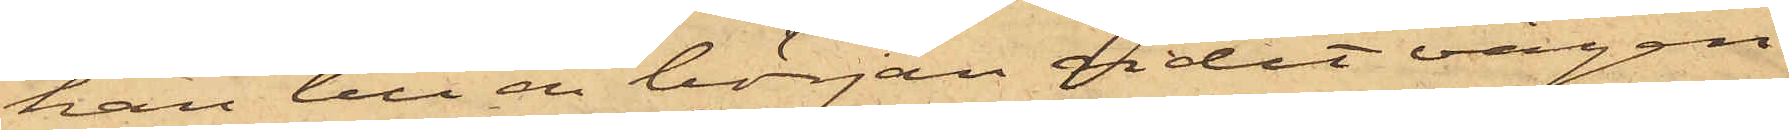han till en början ridit vägen
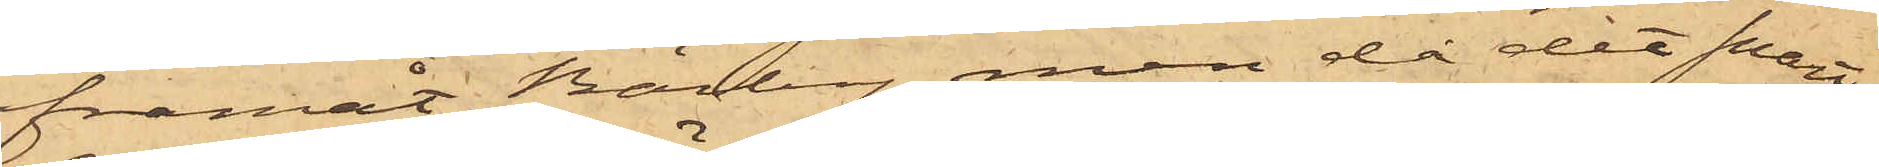framåt Bärby, men då det snart
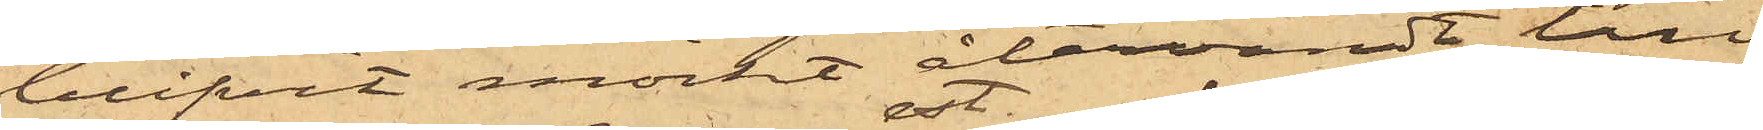blifvit mörkt återvändt till
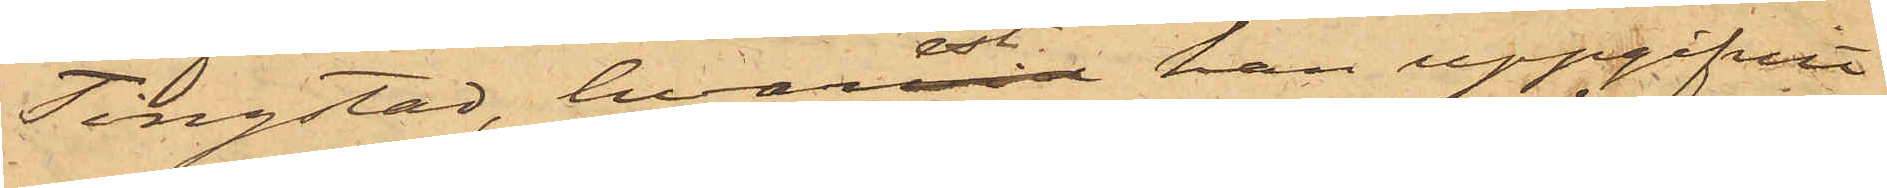Tingstad, hvarest han uppgifvit
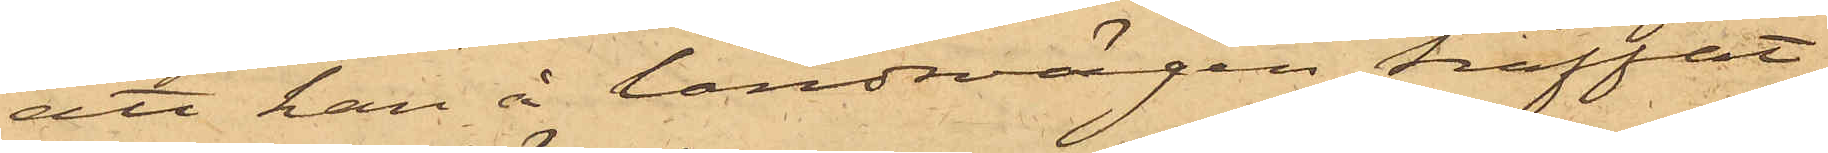att han å landsvägen träffat
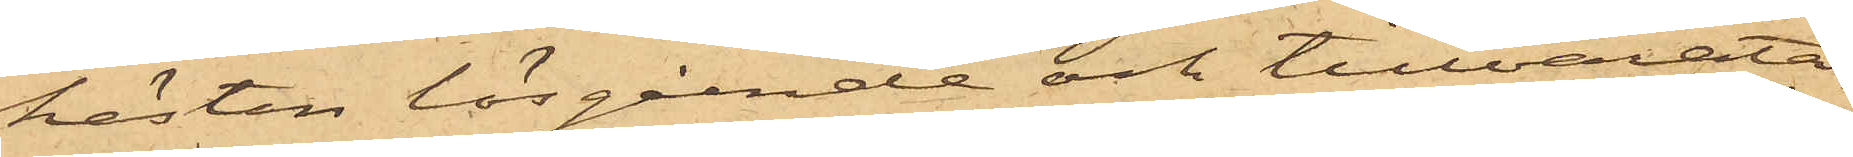hästen lösgående och tillvarata¬
